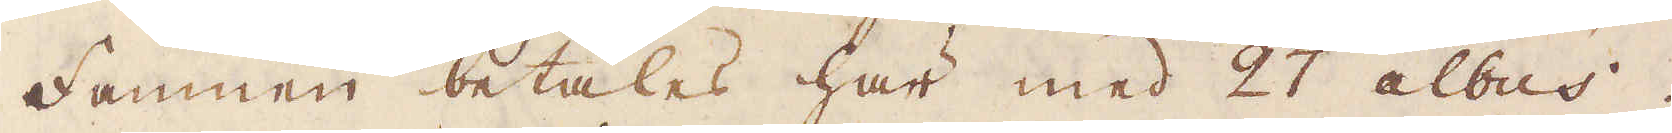Famnen betalas här med 27 albus.
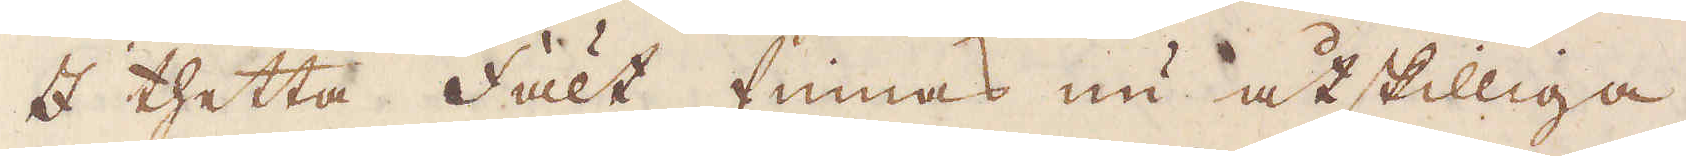I thetta fält finnas nu åtskilliga
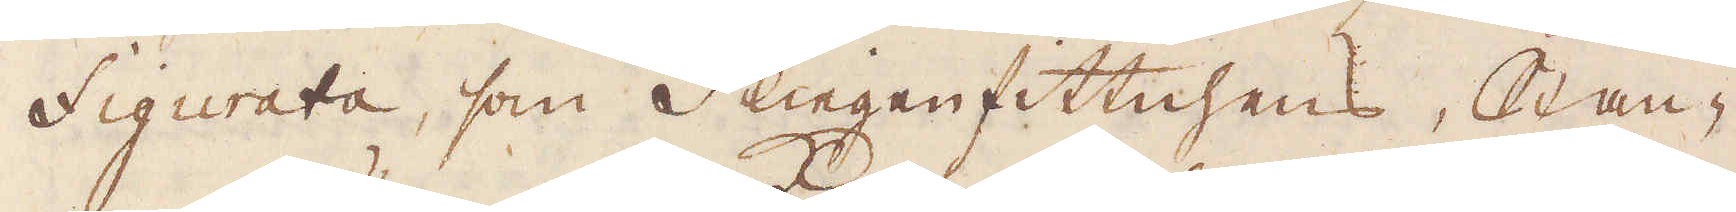figurata, som flingen fittnhens, Stan-
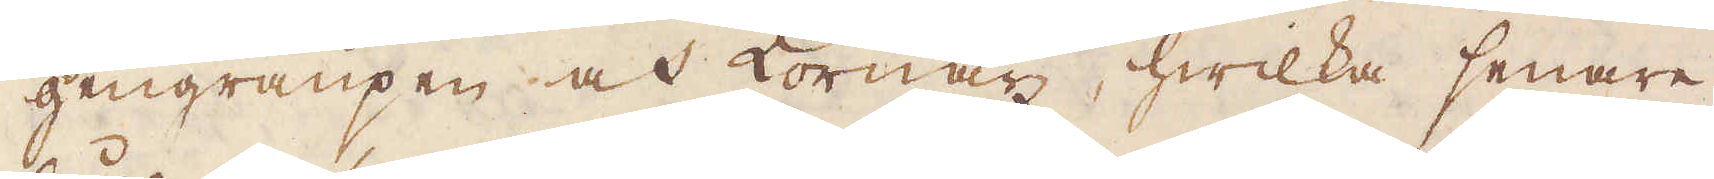gengraupen och Kornaz, hwilka senare
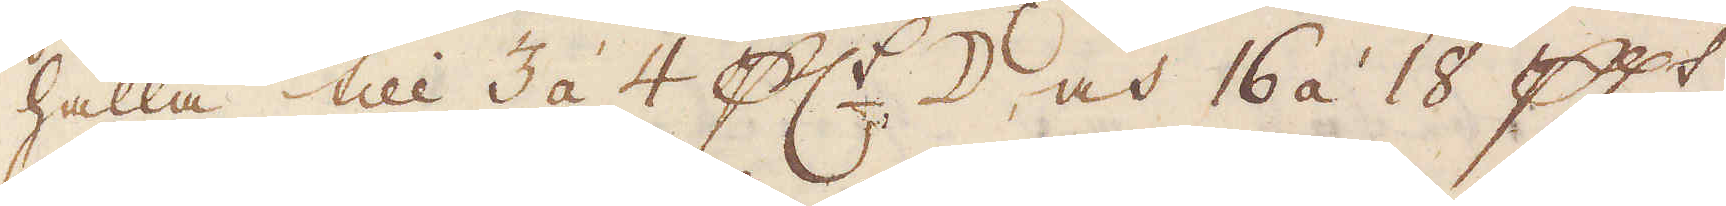hålla till 3 à 4 pc:t ☽, och 16 á 18 pc:t
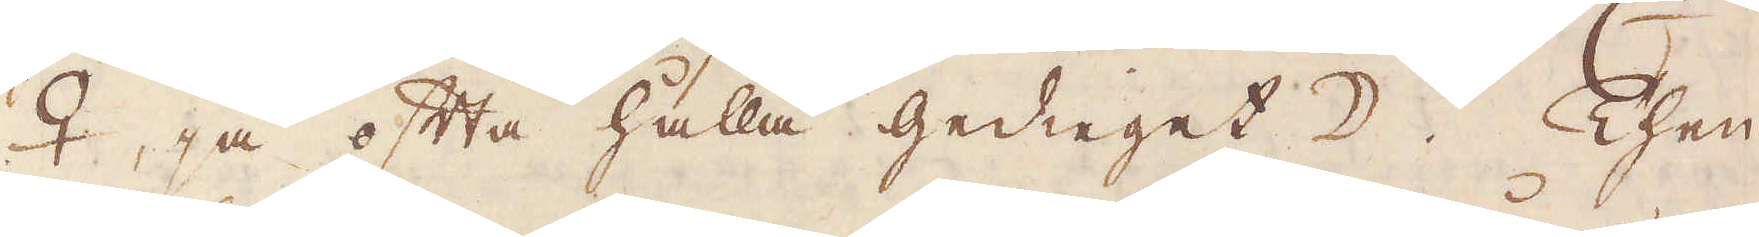♀, så ofta hålla Gedieget. Then
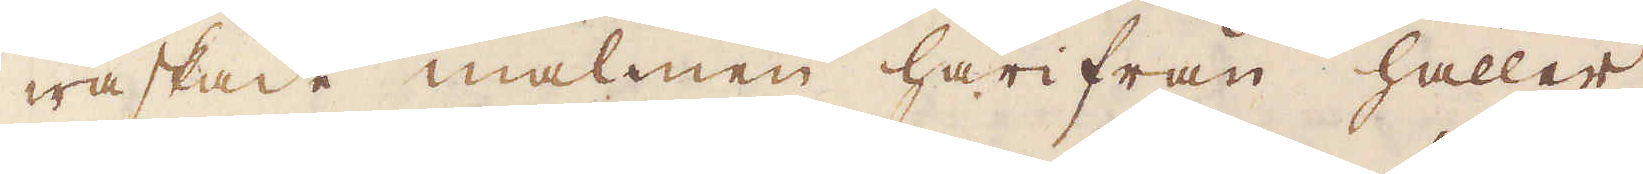waskade malmen härifrån håller
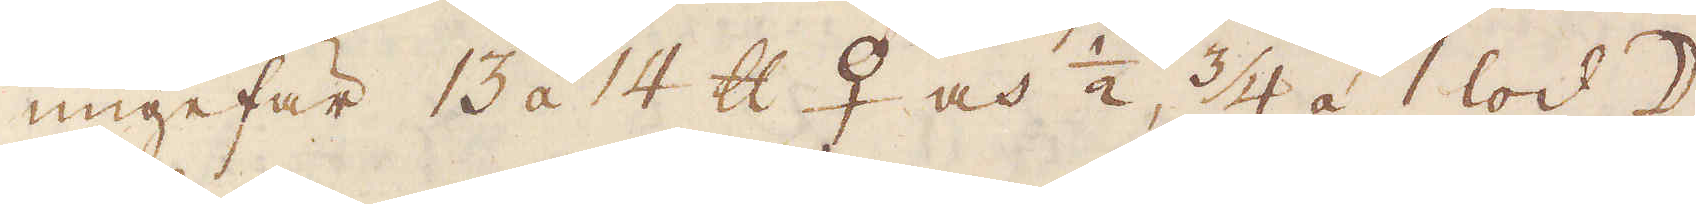ungefär 13 áà 14 skålpund ♀ och 1/2, 3/4 á 1 lod ☽
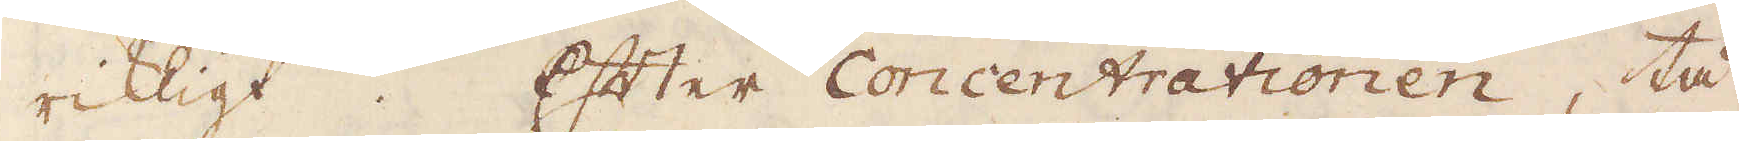riktigt. Efter Concentrationen, tå
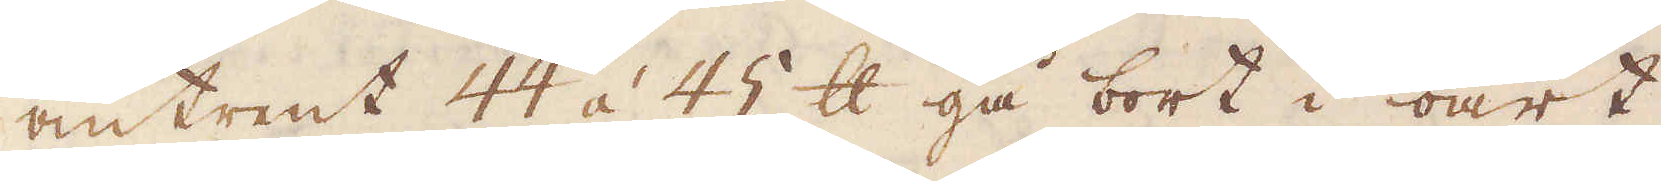omtrent 44 á 45 skålpund gå bort i oart
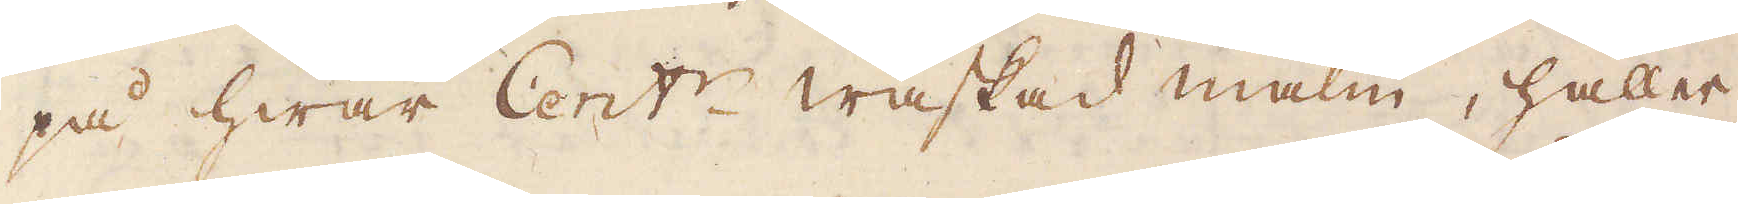på hwar Cent:r waskad malm, håller
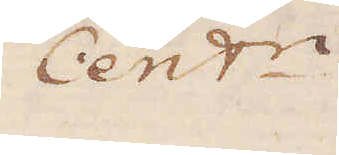Cent:r
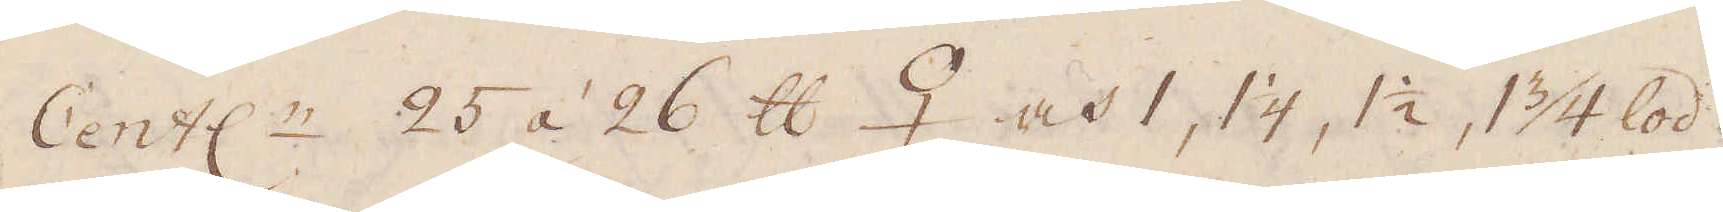Cent:r 25 áà 26 skålpund. 2 och 1, 1 1/4, 1 1/2,  1/34 lod.
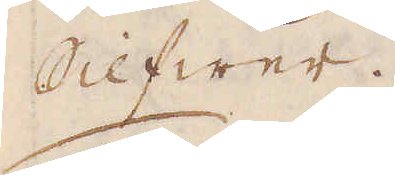Silfwer.
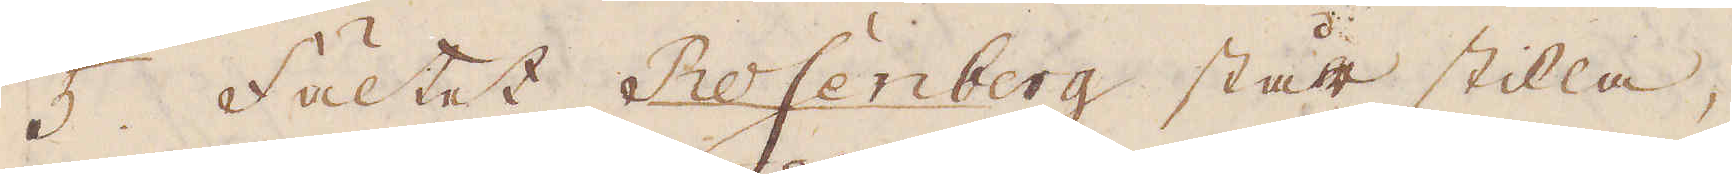5. Fältet Rosenberg står stilla,
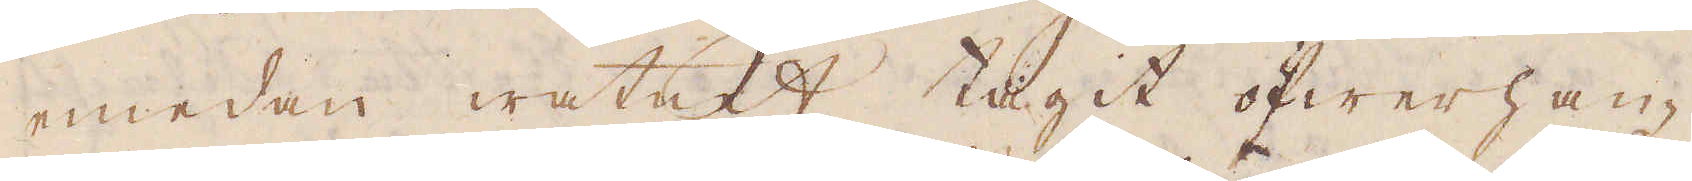emedan watnet tagit öfwerhan-
